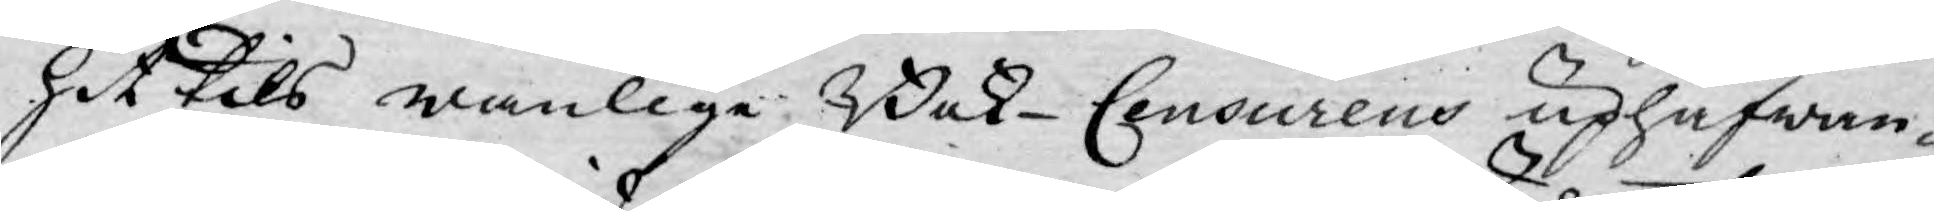hit tils wanlige Bok-Censurens uphäfwan¬
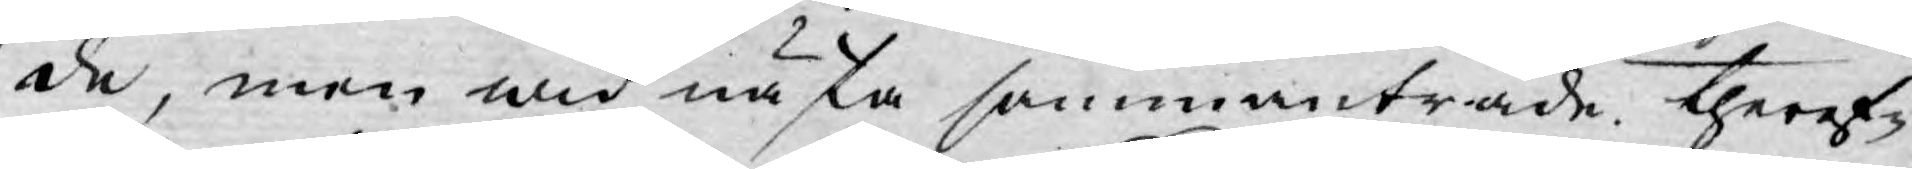de, men wid nästa sammanträde theref¬
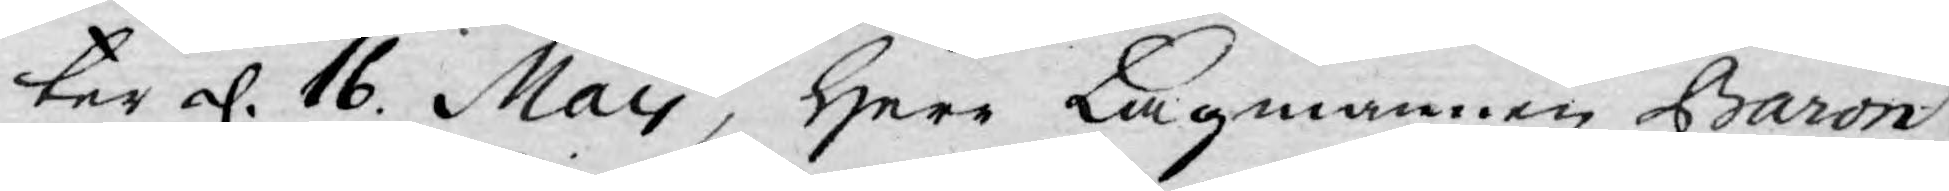ter d. 16. May, Herr Lagmannen Baron
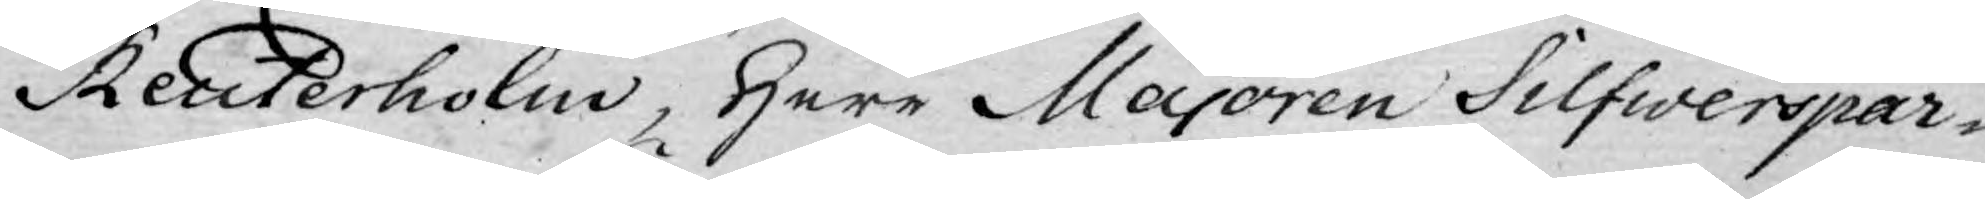Reuterholm, Herr Majoren Silfwerspar¬
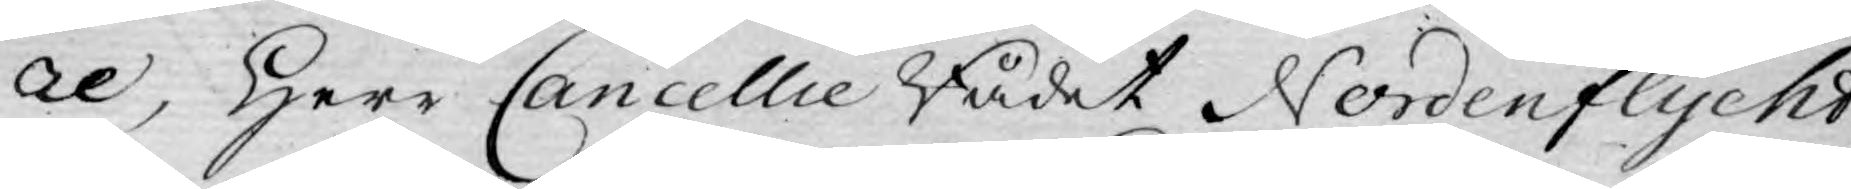re, Herr Cancellie Rådet Nordenflycht,
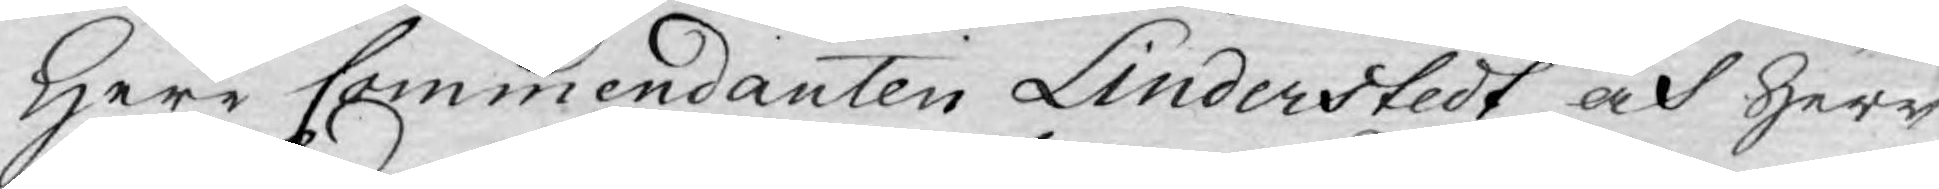Herr Commendanten Linderstedt och Herr
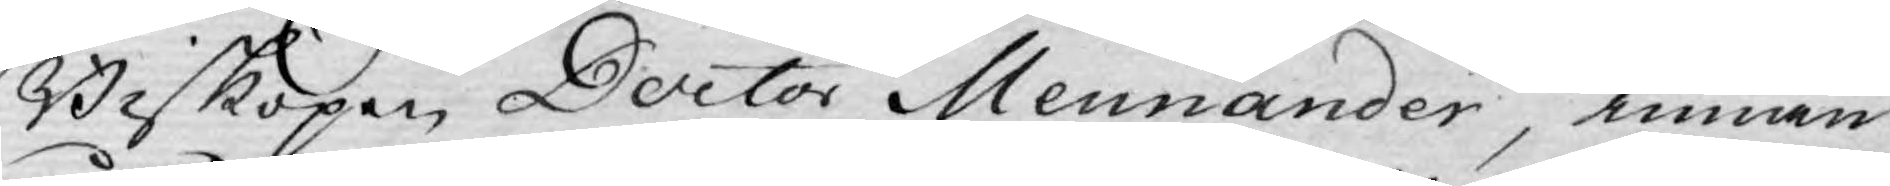Biskopen Doctor Mennander, innan
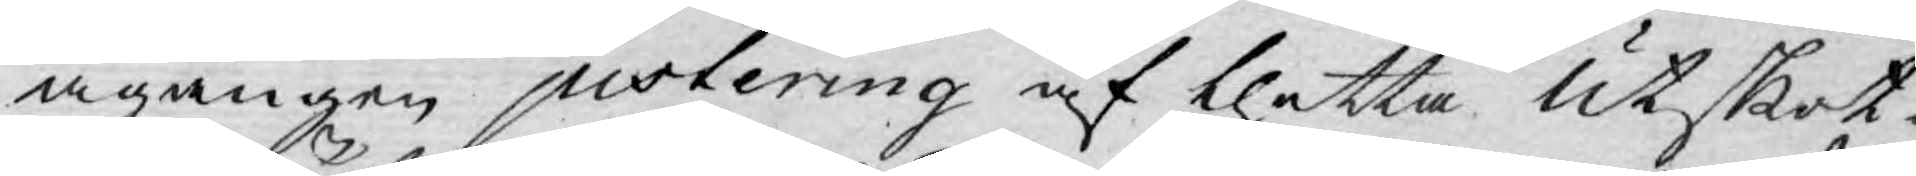ågången justering af thetta Utskot¬
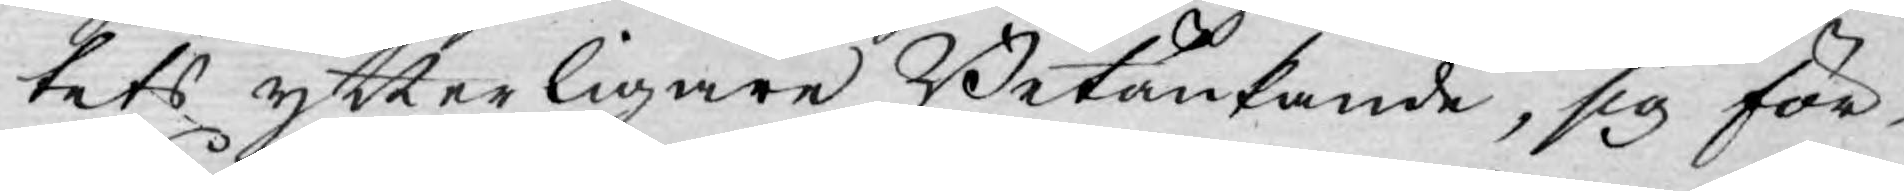tets ytterligare Betänkande, sig för¬
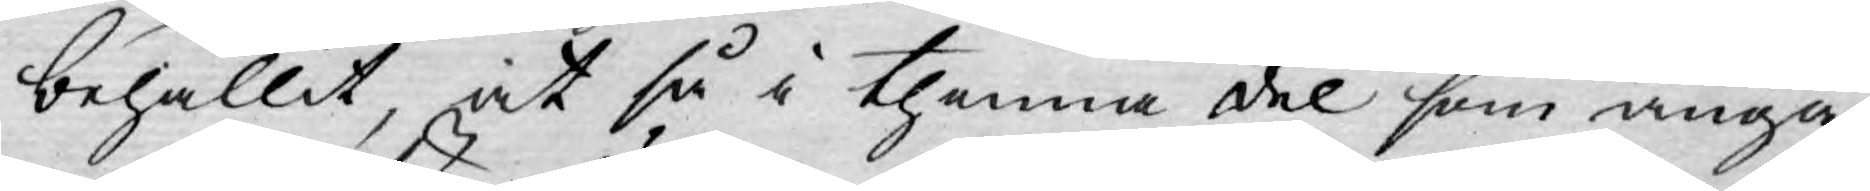behållit, at så i thenna del som angå¬
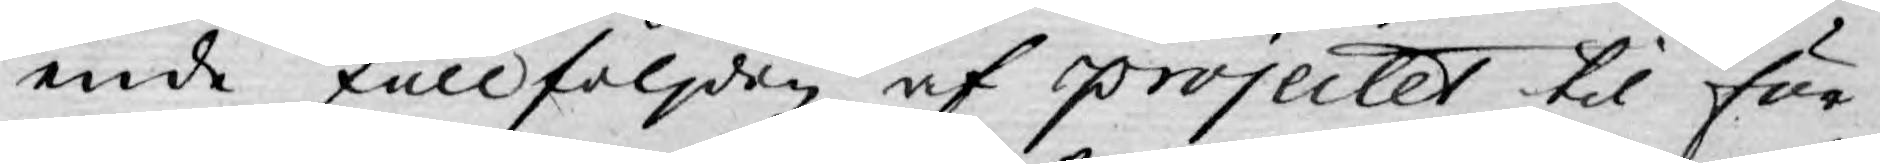ende fullföljden af projectet til för¬
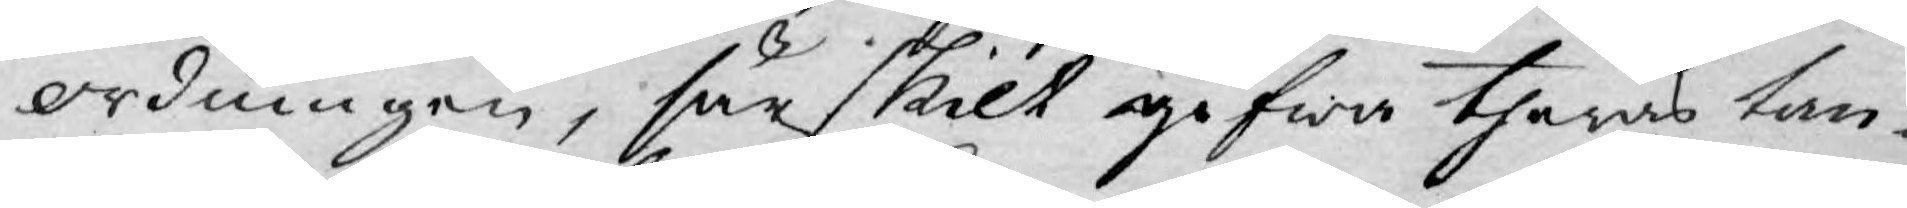ordningen, särskilt gifwa theras tan¬
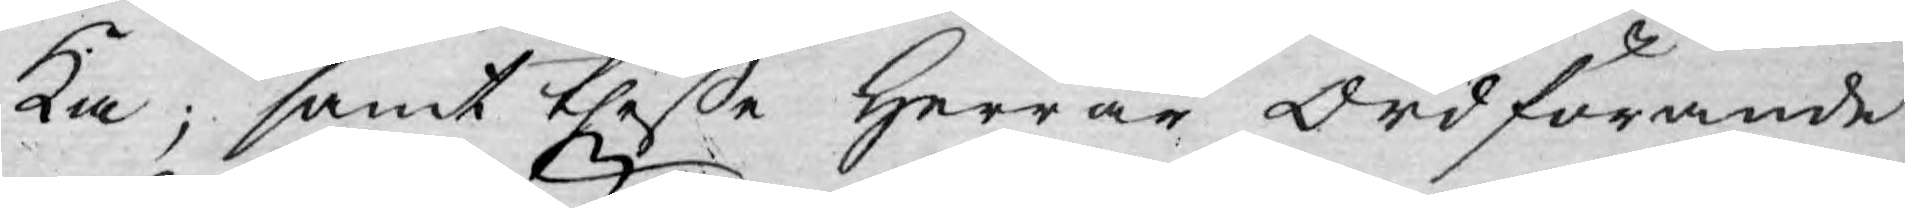ka; samt theße Herrar Ordförande
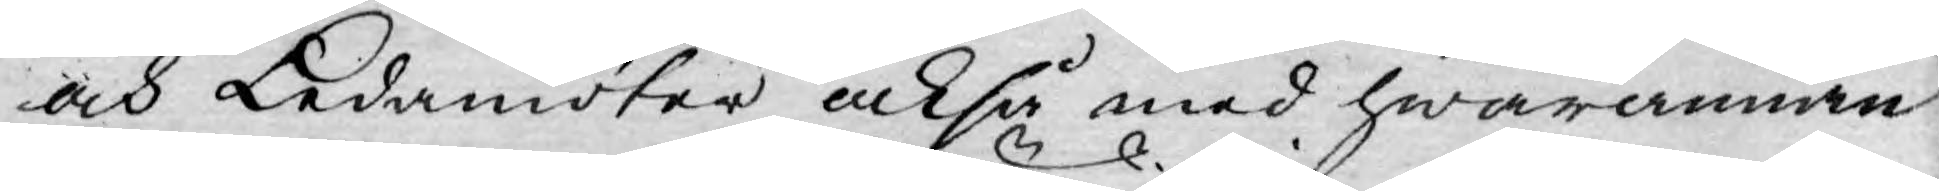och Ledamöter också med hwarannan
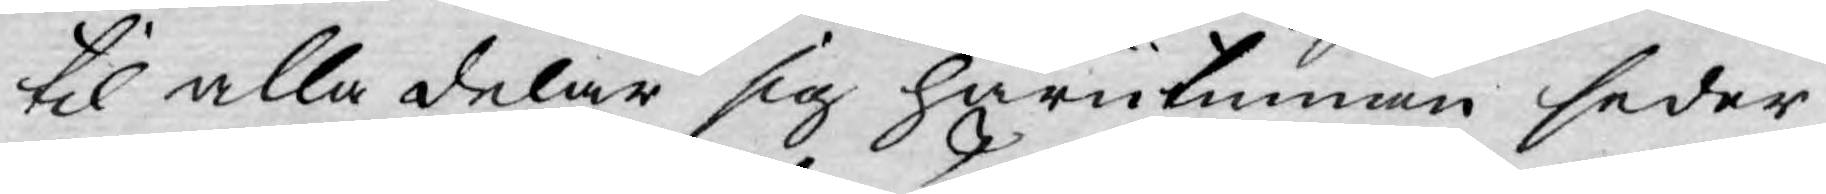til alla delar sig härutinnan seder¬
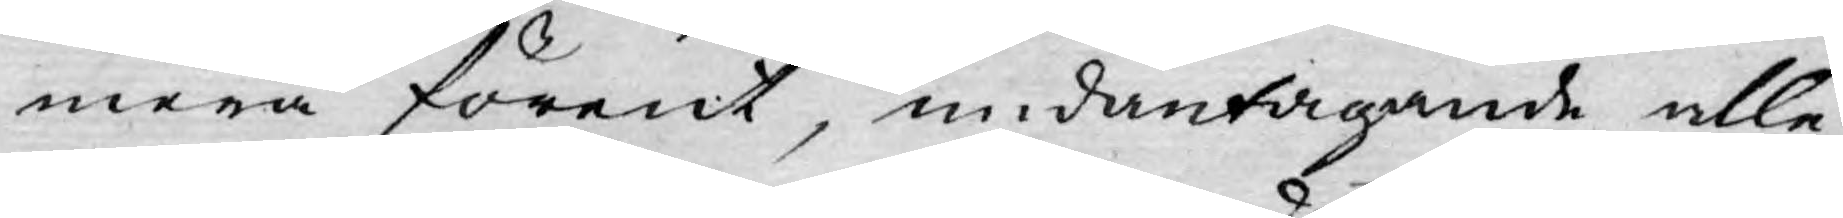mera förent, undantagande alle¬
